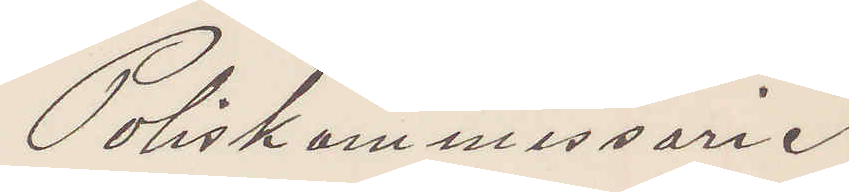Poliskommissarie
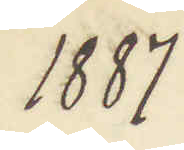1887
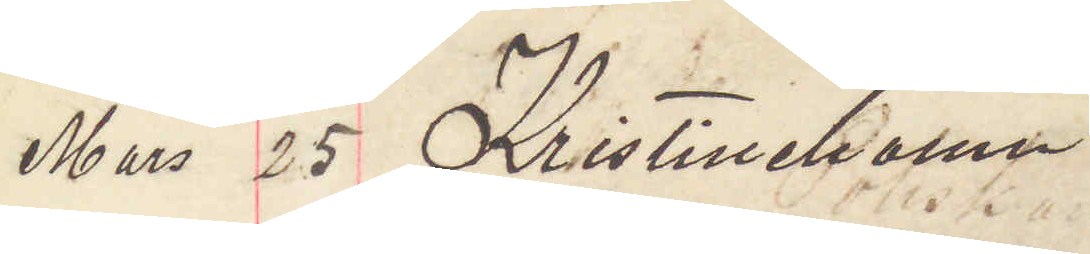Mars 25 Kristinehamn
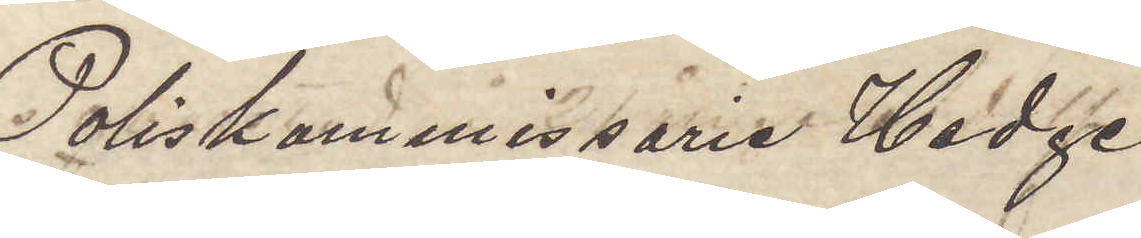Poliskommissarie Hedge
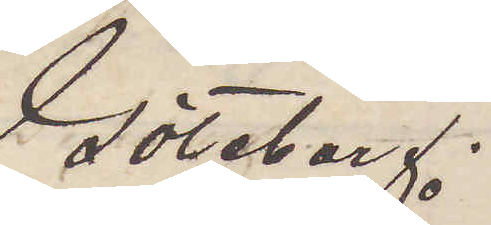Göteborg.
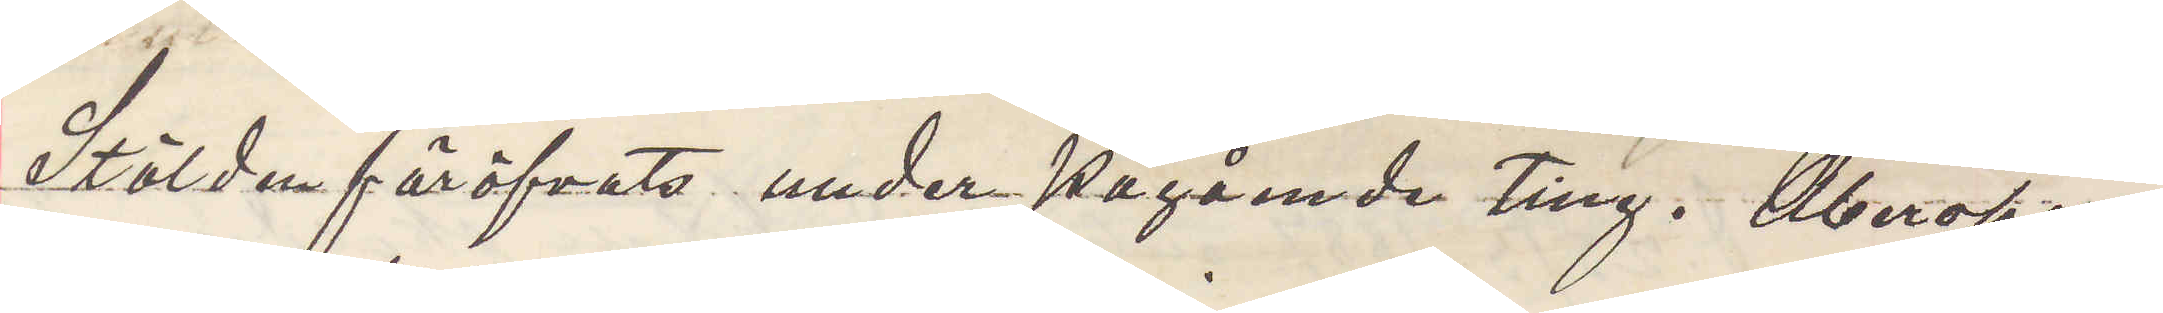Stölden föröfvats under pågående Ting. Åberopar
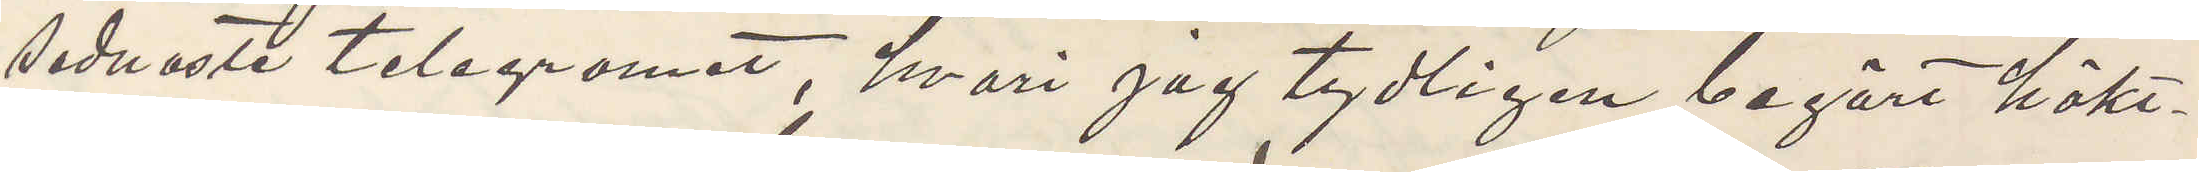sednaste telegrammet, hvari jag tydligen begärt häkt¬
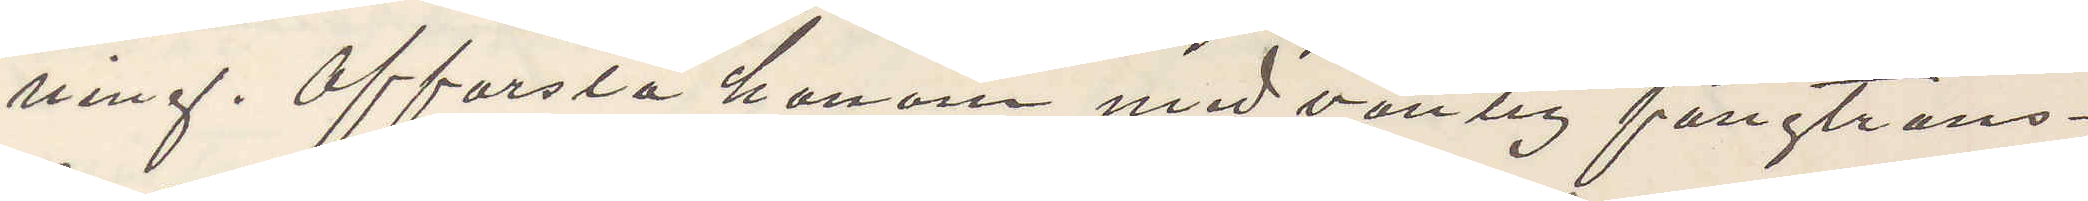ning. Afforsla honom med vanlig fångtrans¬
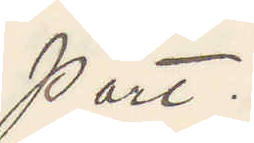port.
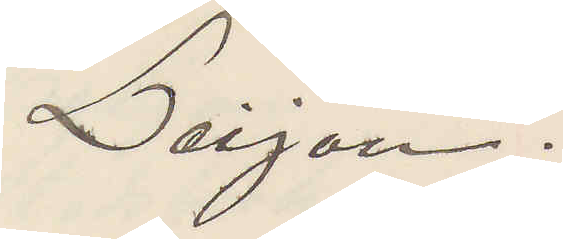Leijon.
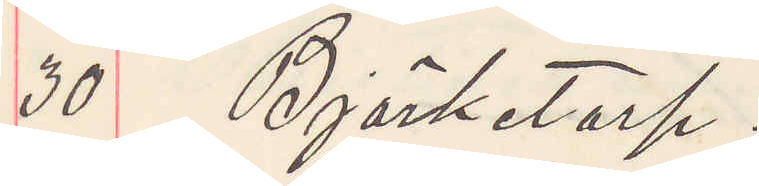30 Björketorp.
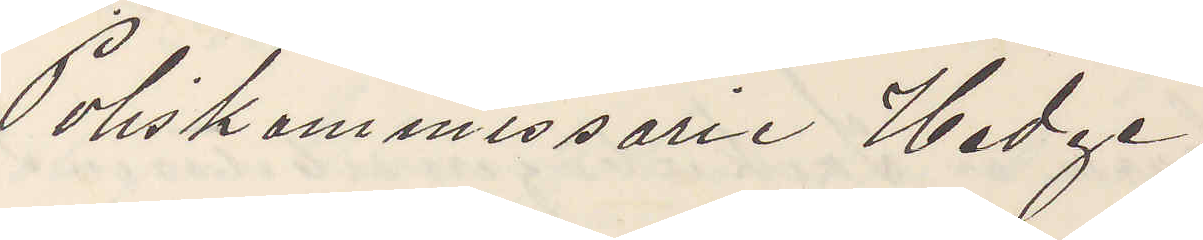Poliskommissarie Hedge
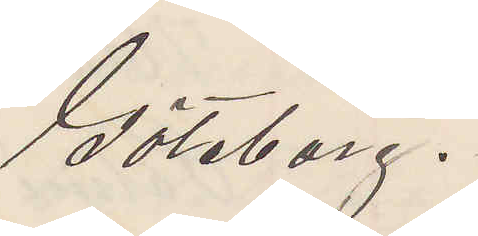Göteborg.
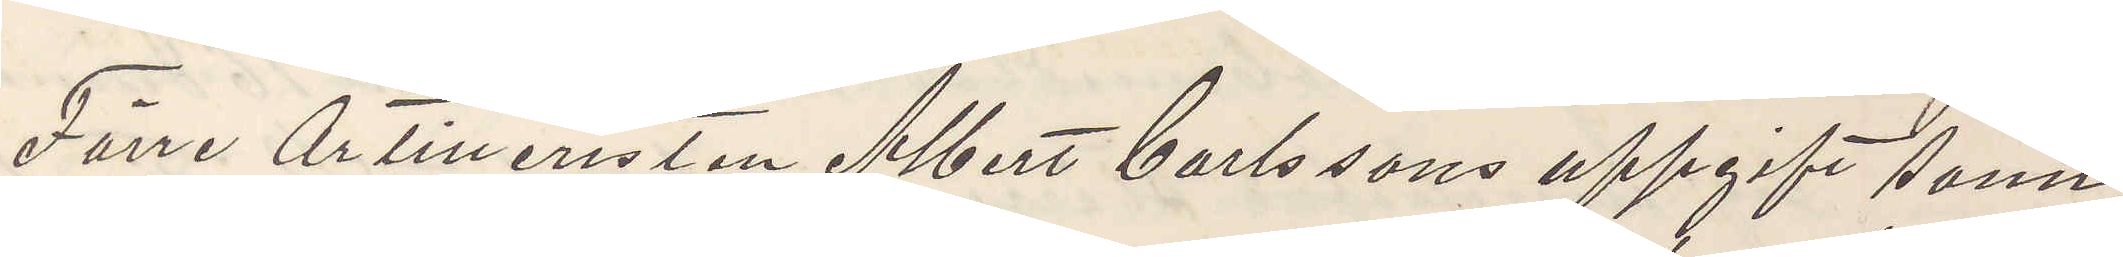Förre Artilleristen Albert Carlssons uppgift som,
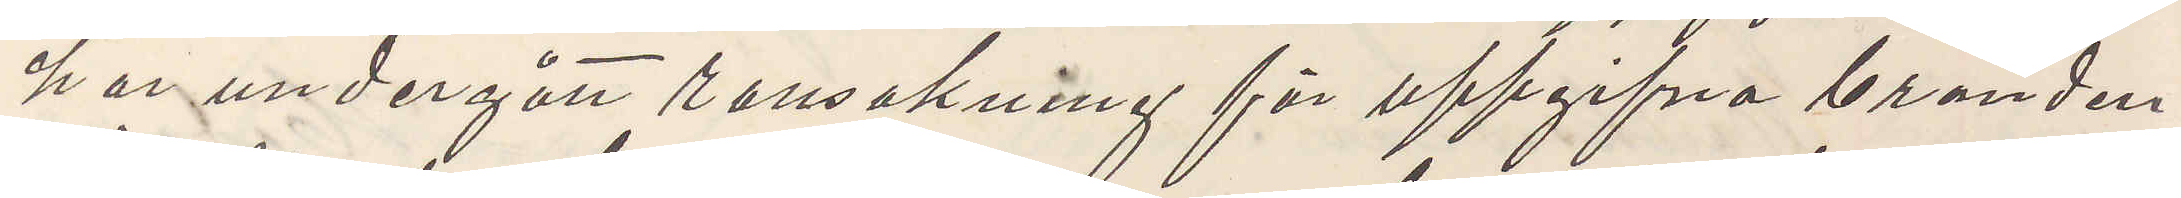har undergått ransakning för uppgifna branden
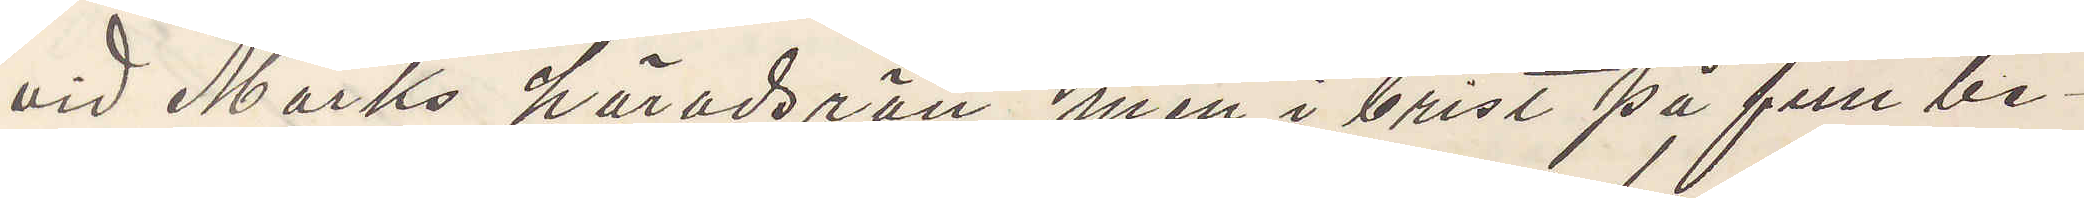vid Marks häradsrätt men i brist på full be¬
